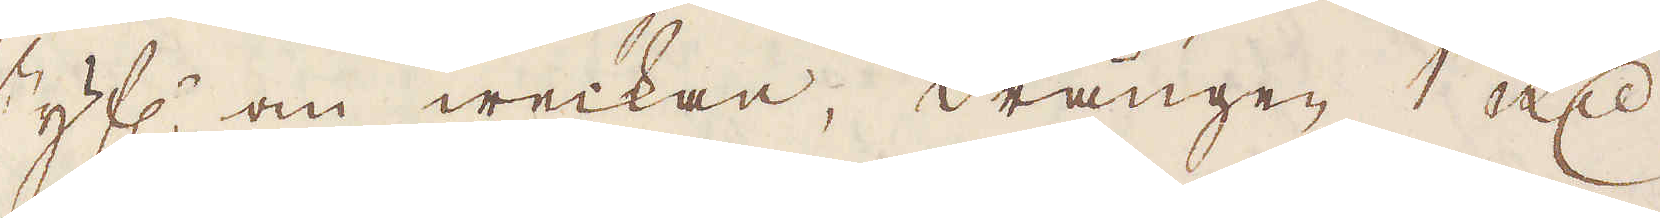styf:r om weckan, drängen 1 R:dr
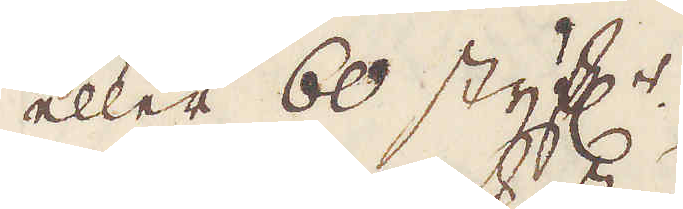eller 60 styf:r.
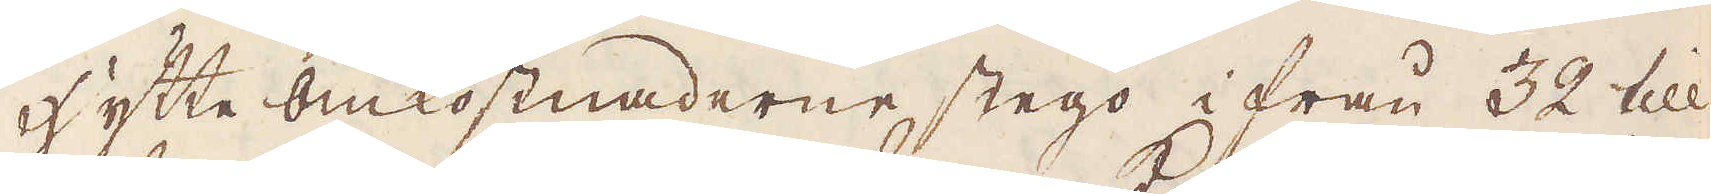Hytte omkostnaderne stego ifrån 32 till
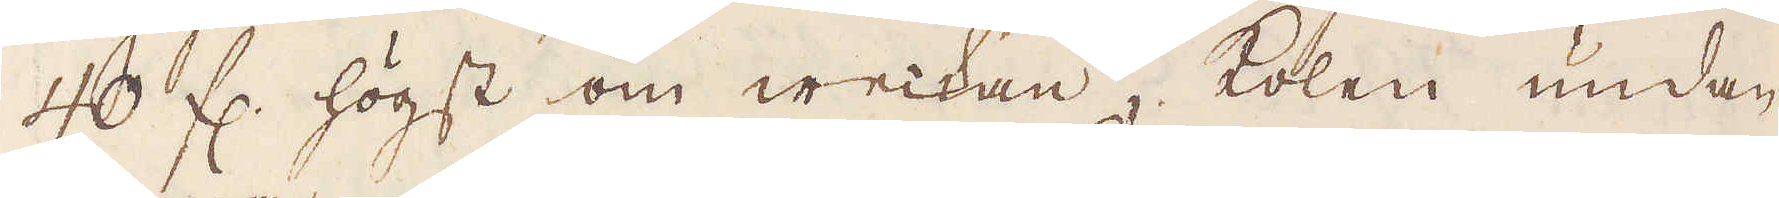40 fl. högst om weckan, kolen undan-
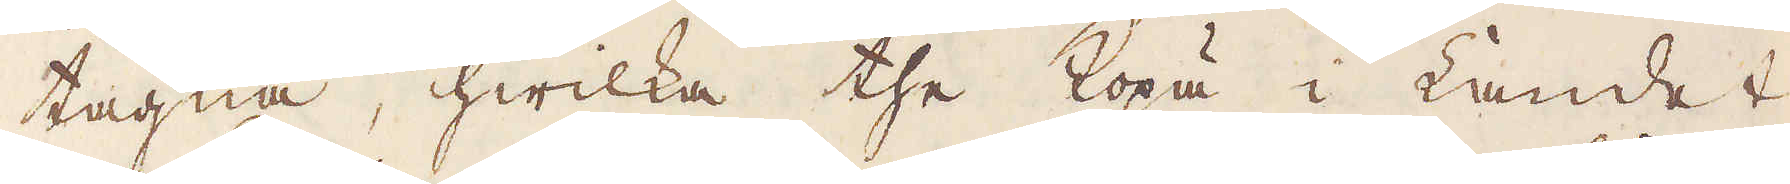tagna, hwilka the köpa i Landet
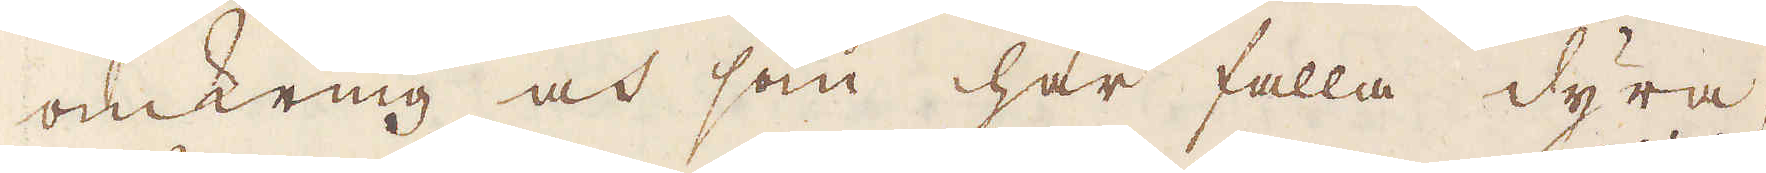omkring och som här falla dyra,
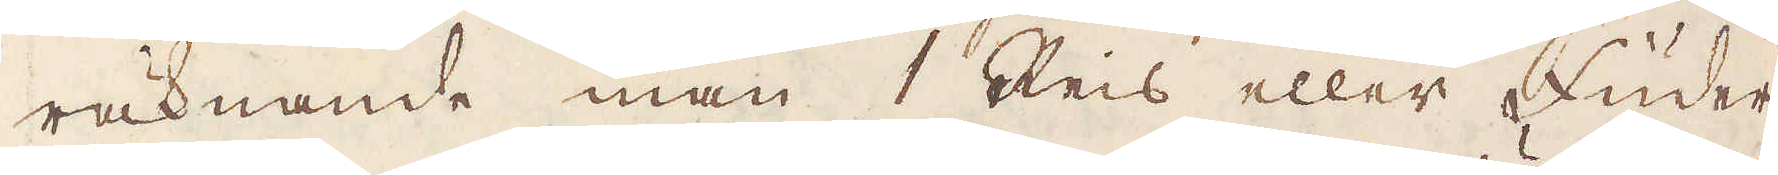räknande man 1 Reis eller Füder
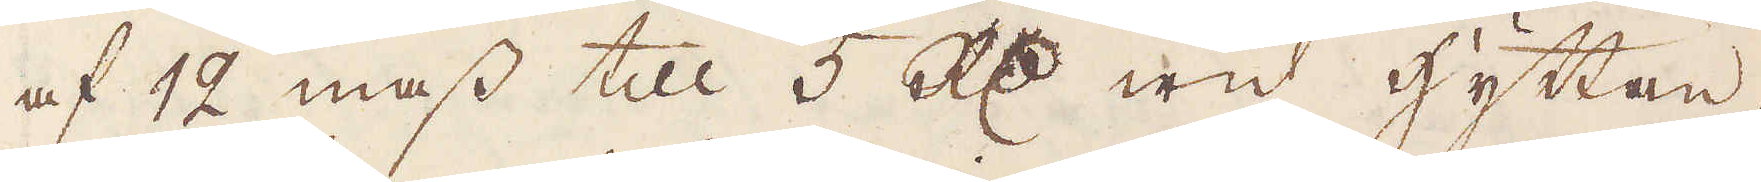af 12 mass till 5 R:dr wid hyttan.
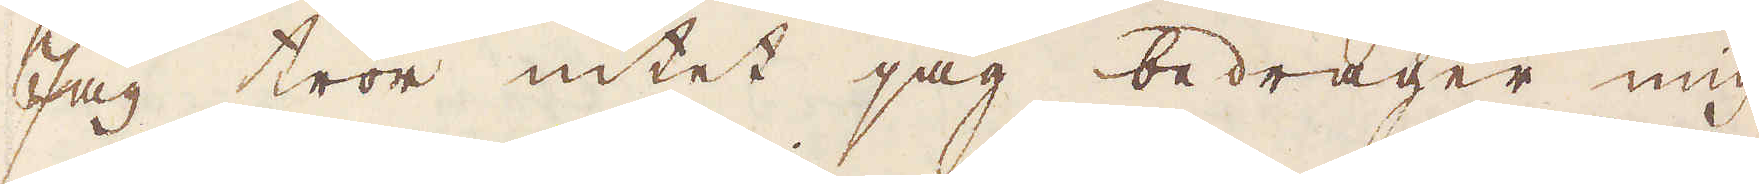Jag tror intet jag bedrager mig
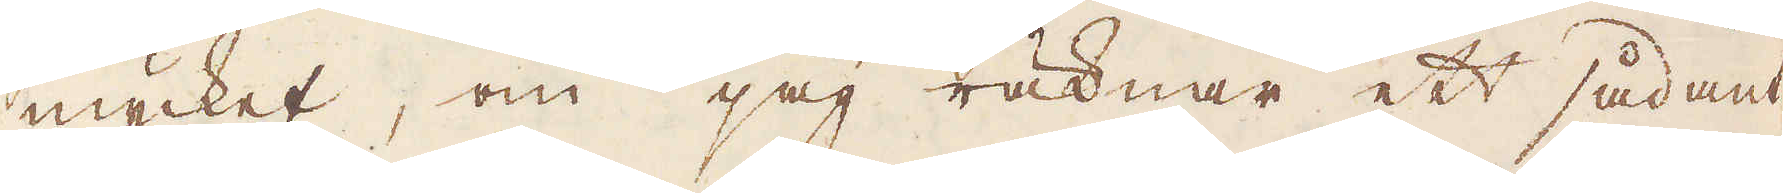mycket, om jag räknar ett sådant
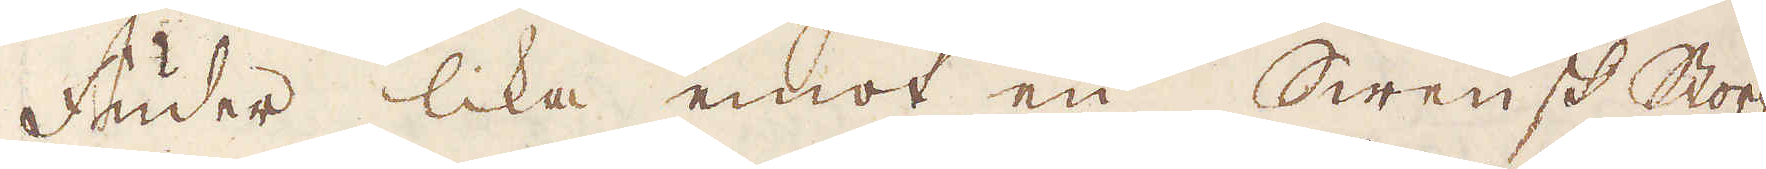Fuder lika emot en Swensk stor-
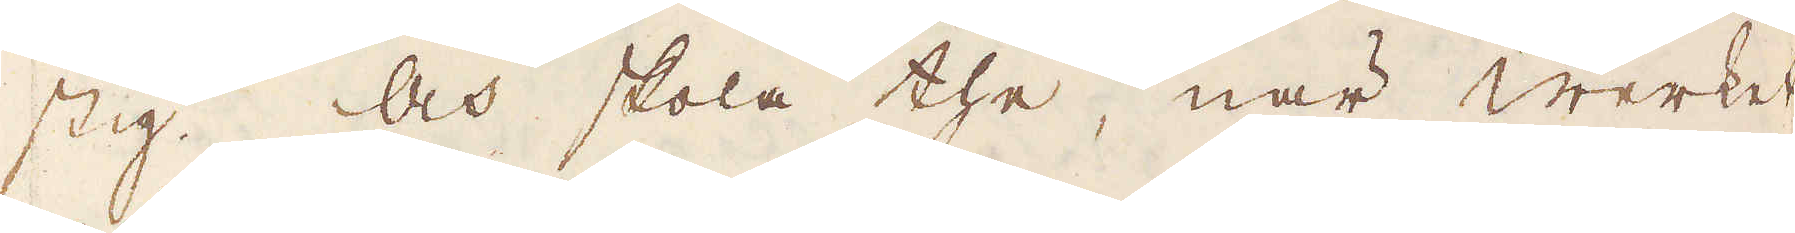stig. Och skola the, när Werket
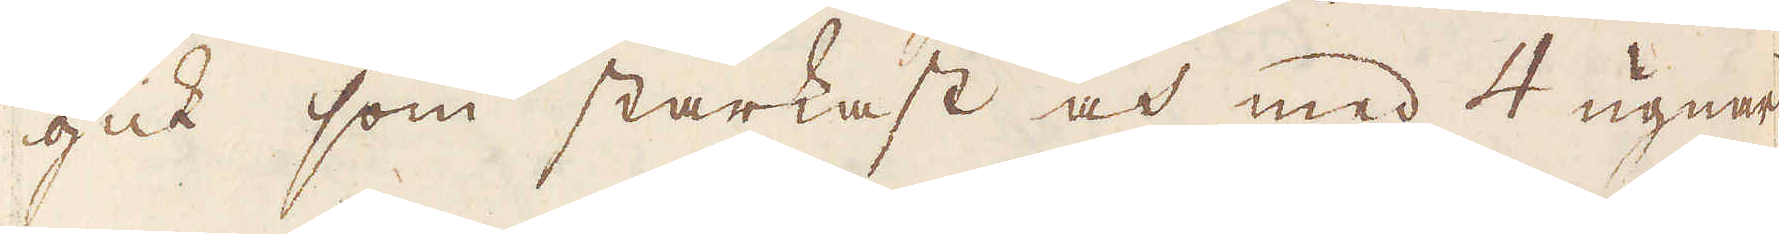gick som starkast och med 4 ugner
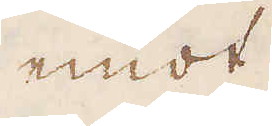emot
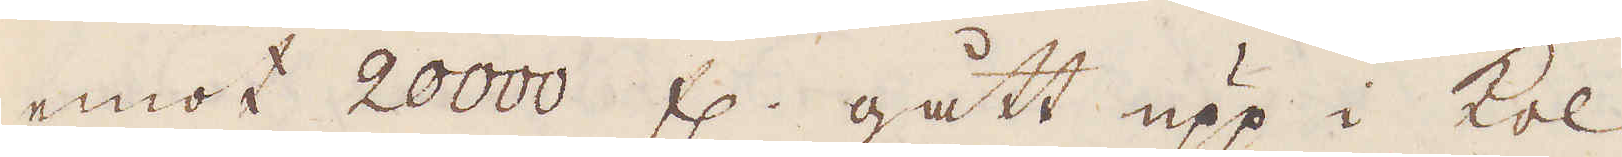emot 20000 fl. gått upp i kol
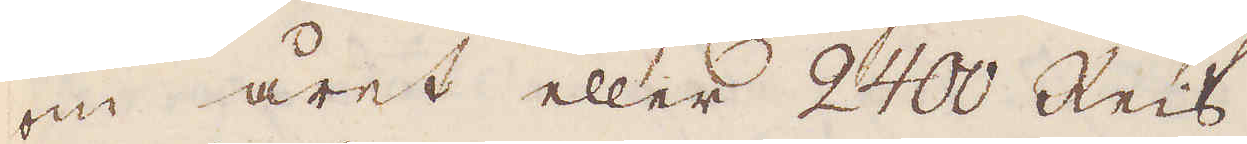om året eller 2400 Reis.
